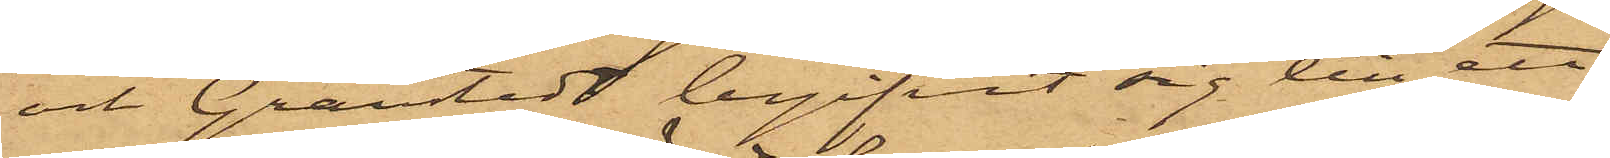och Grantedt begifvit sig till ett
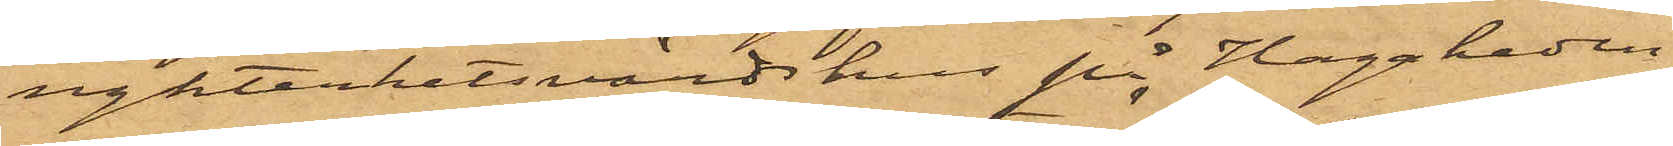nykterhetsvärdshus på Hagaheden
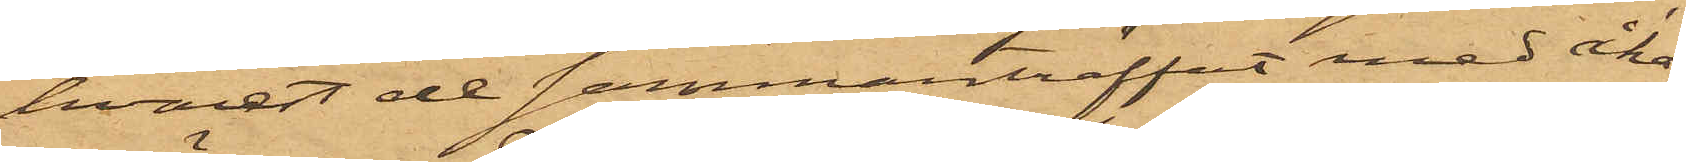hvarest de sammanträffat med åka¬
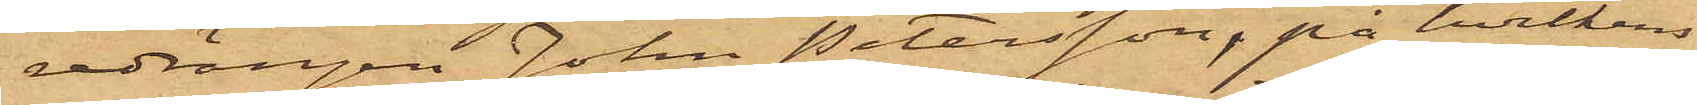redrängen John Petersson, på hvilkens
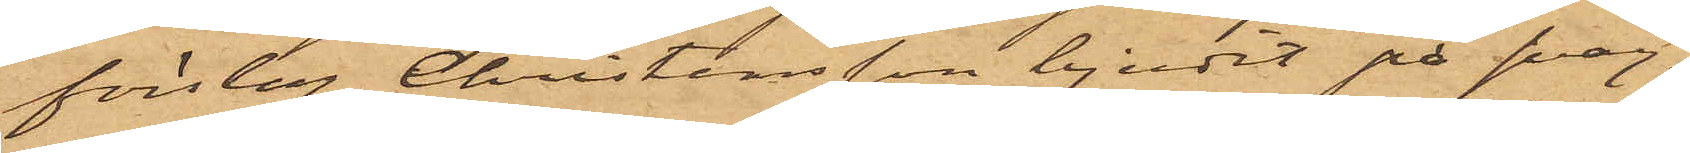förslag Christensson bjudit på svag¬
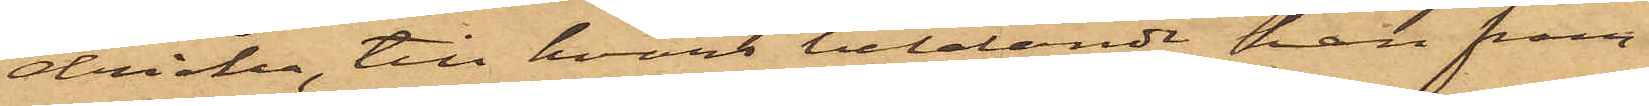dricka, till hvars betalande han fram¬
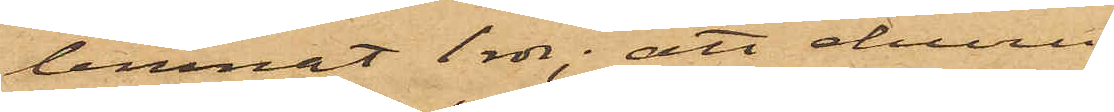lemnat 1 rdr; att denna
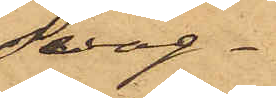svag¬
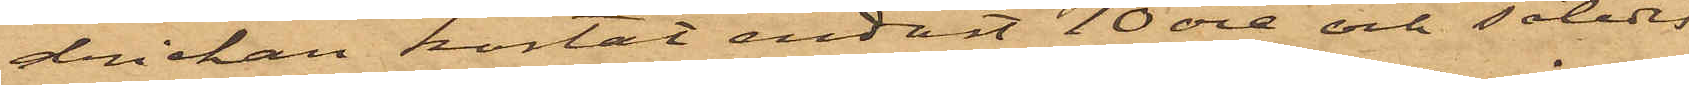drickan kostat endast 10 öre och således
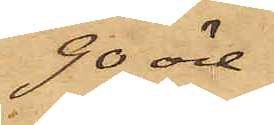90 öre
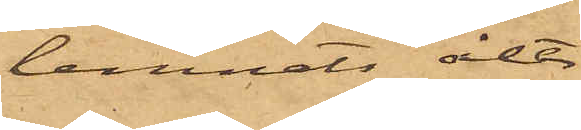lemnats åter,
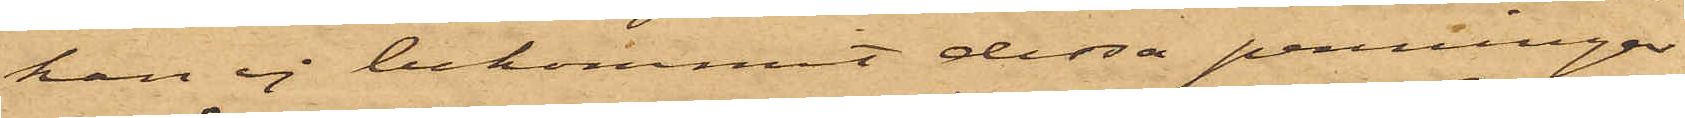han ej bekommit dessa penningar,
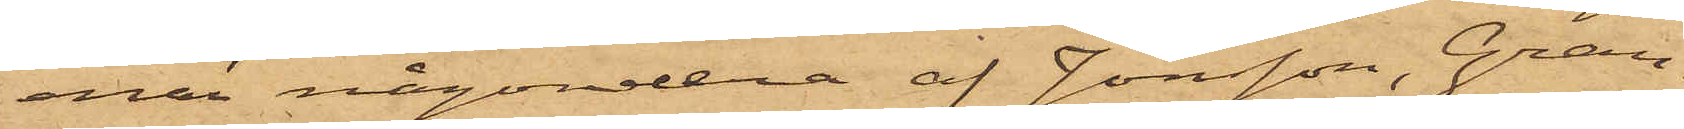enär någondera af Jonsson, Gran¬
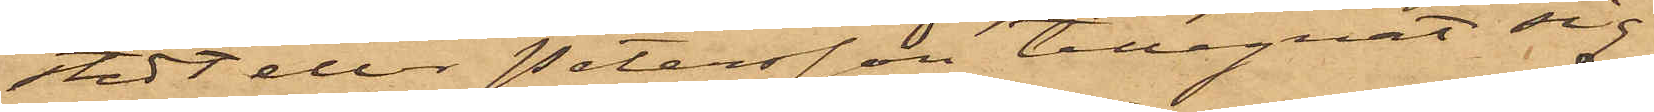stedt eller Petersson tillegnat sig
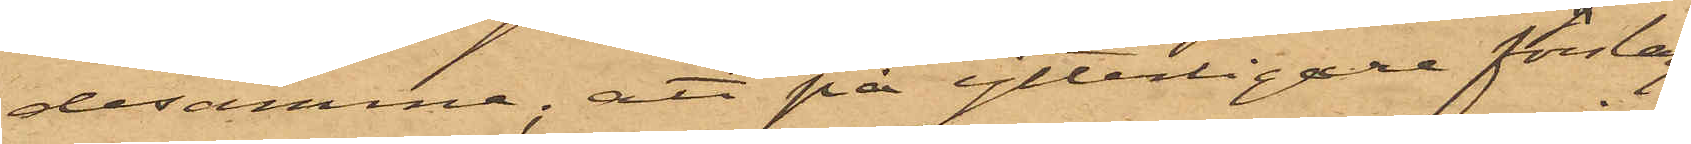desamma; att på ytterligare förslag
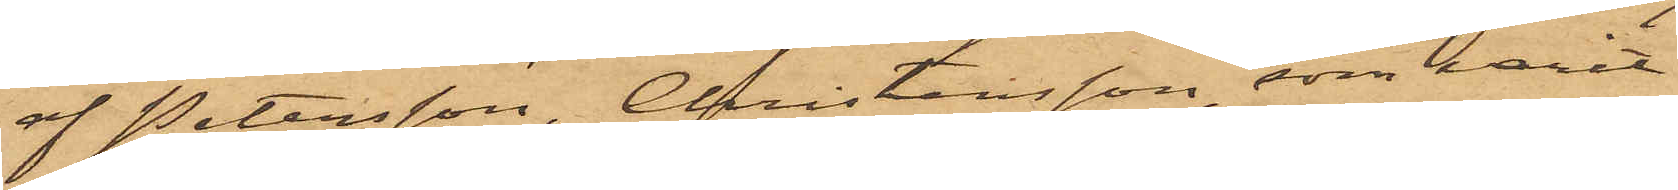af Petersson, Christensson, som varit
